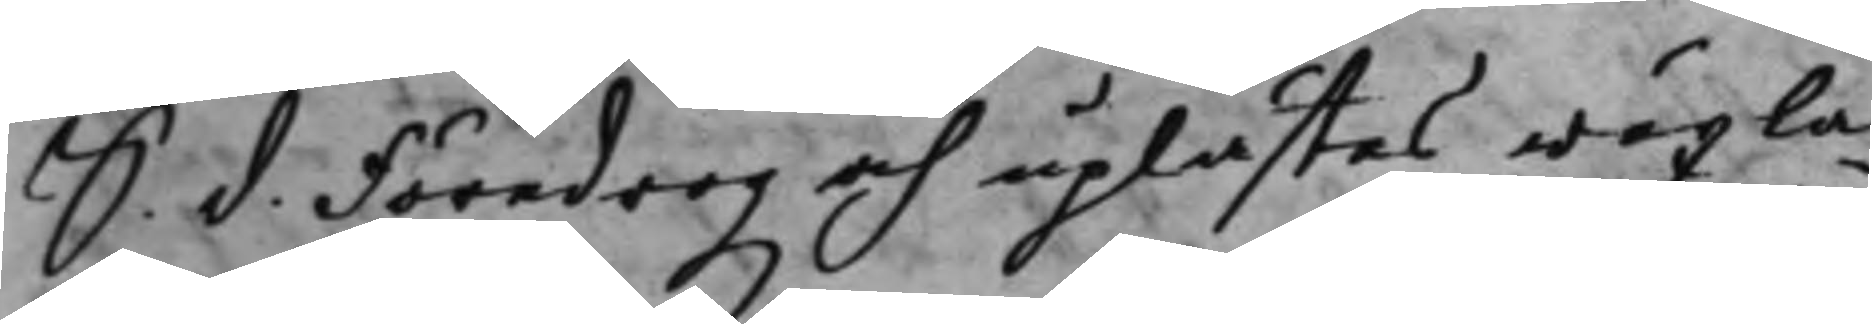S. d. Föredrogz och uplästes wäxla¬
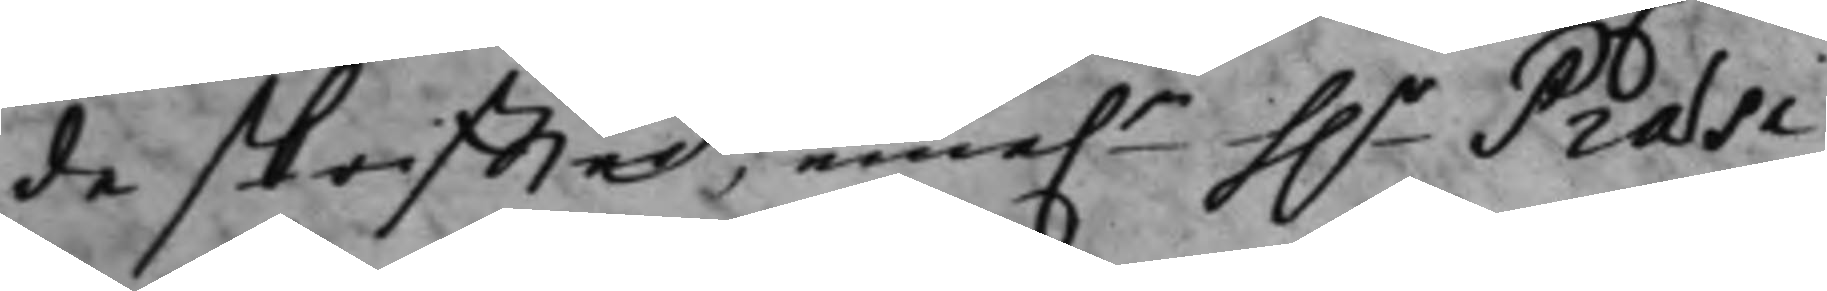de skriffter, eme.n h.r Præsi¬
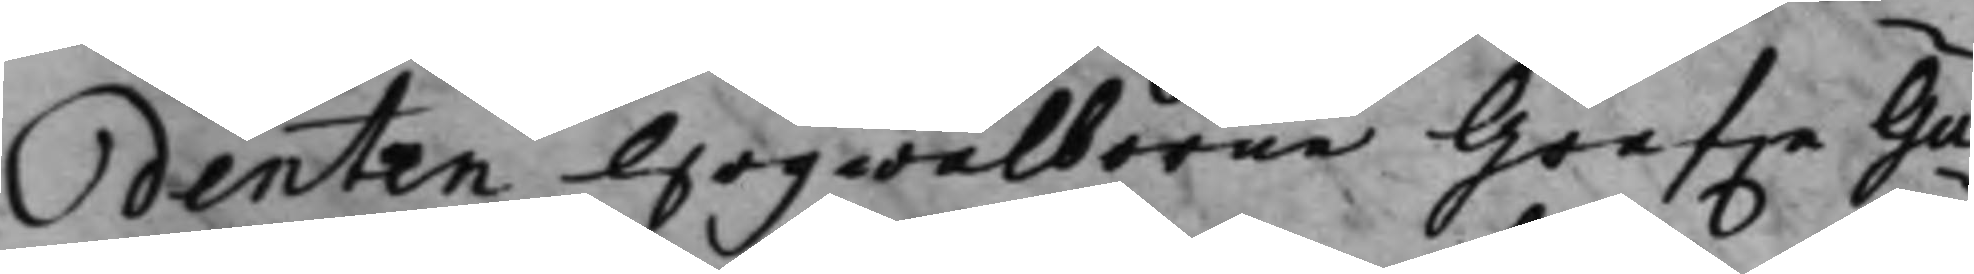denten Högwälborne Grefwe Gu¬
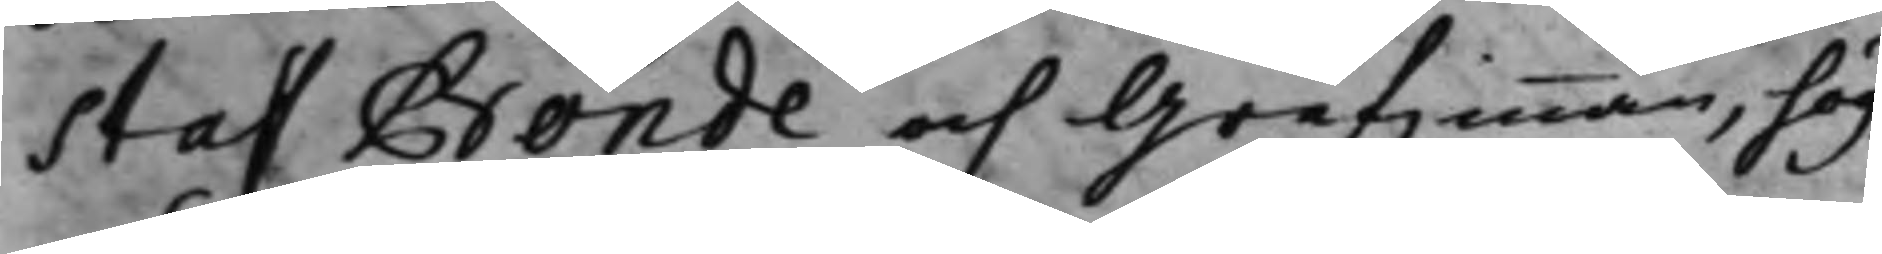staf Bonde och Grefinnan, hög¬
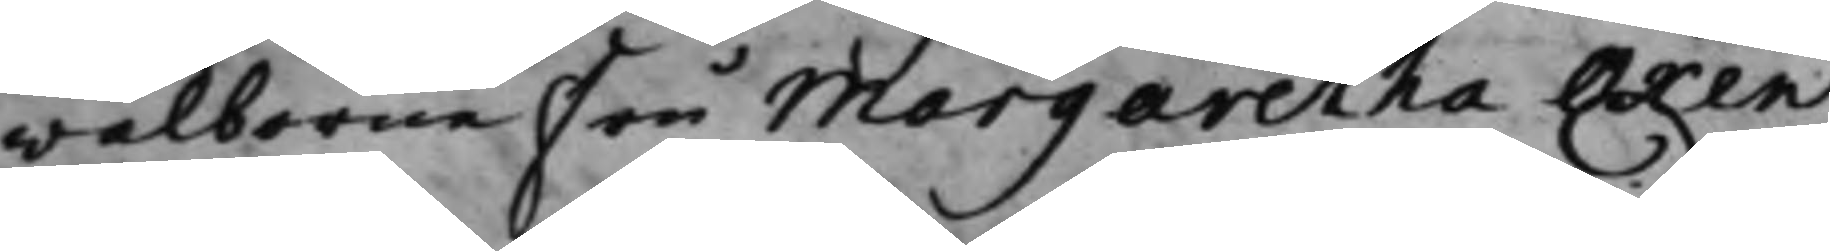wälborne Fru Margaretha Oxen¬
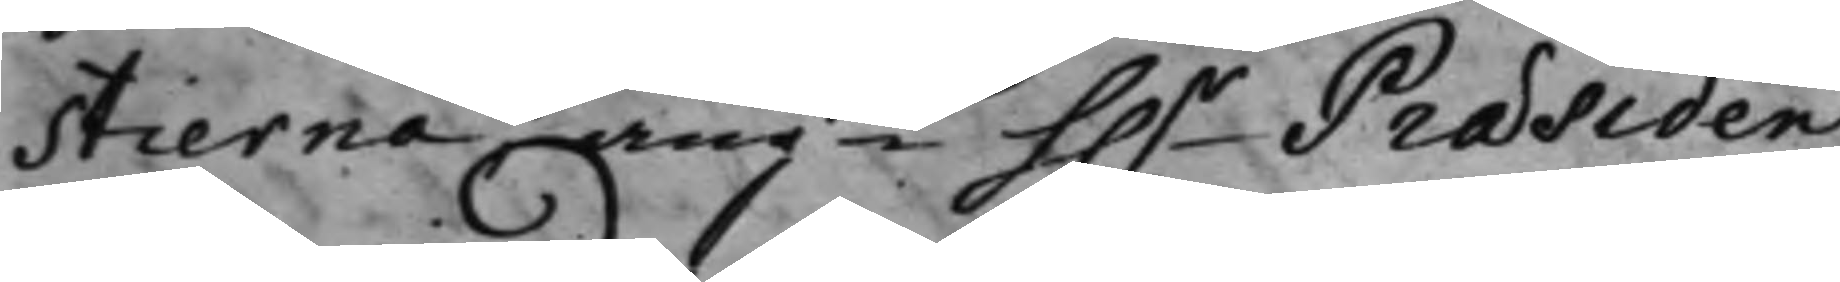stierna angde h.r Præsiden¬
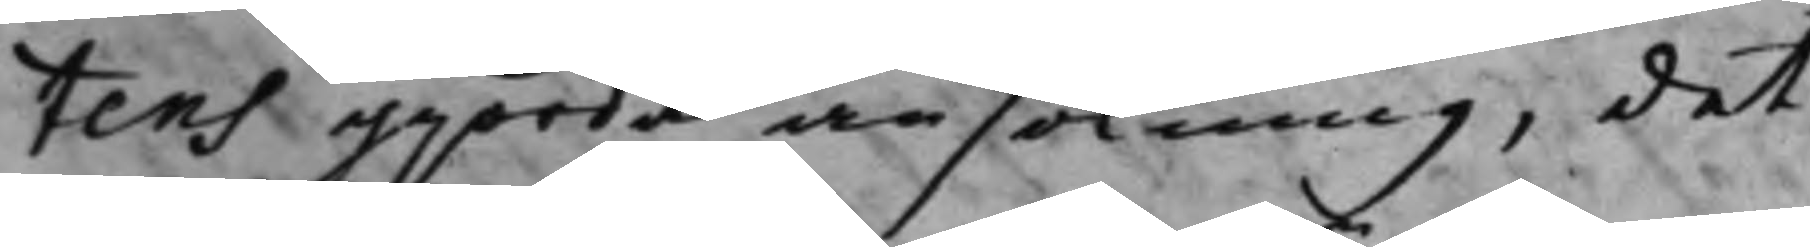tens gjorda ansökning, det
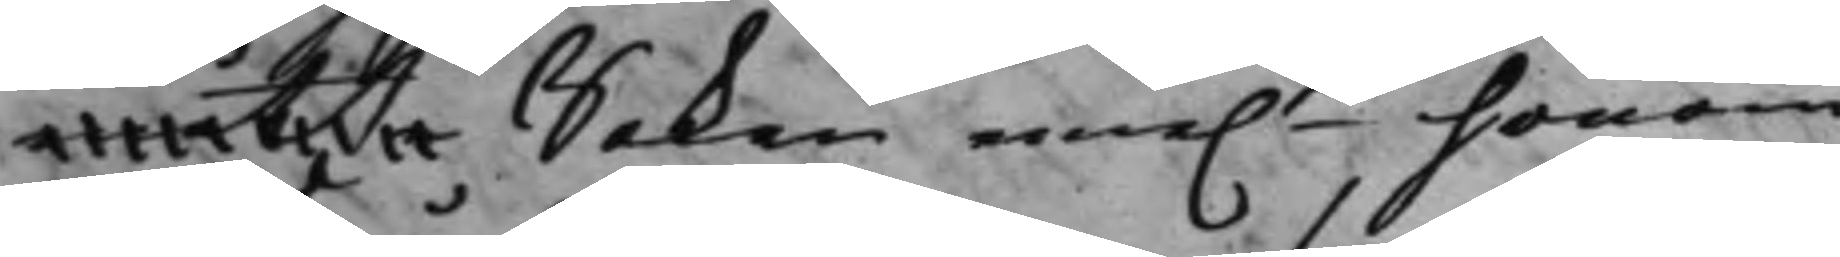måtte Saken eme.n honom
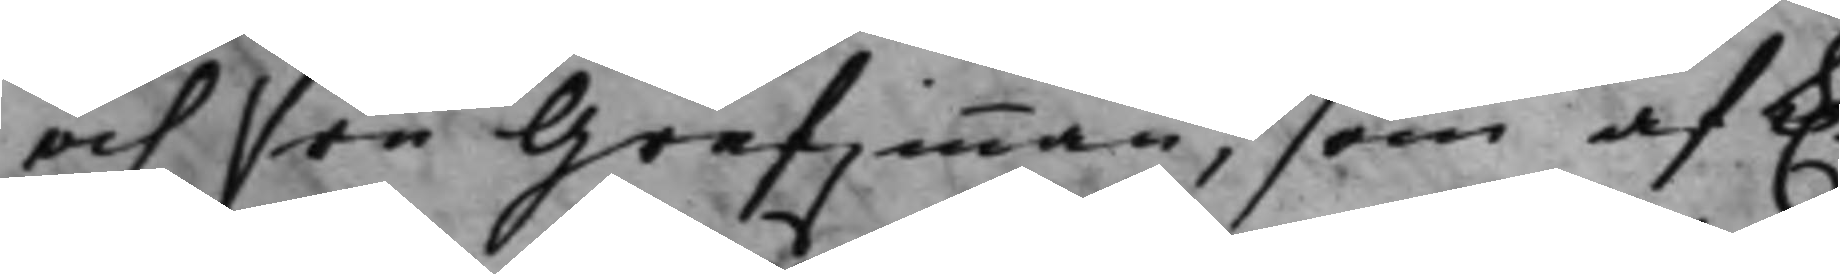och Fru Grefwinnan, som af K.
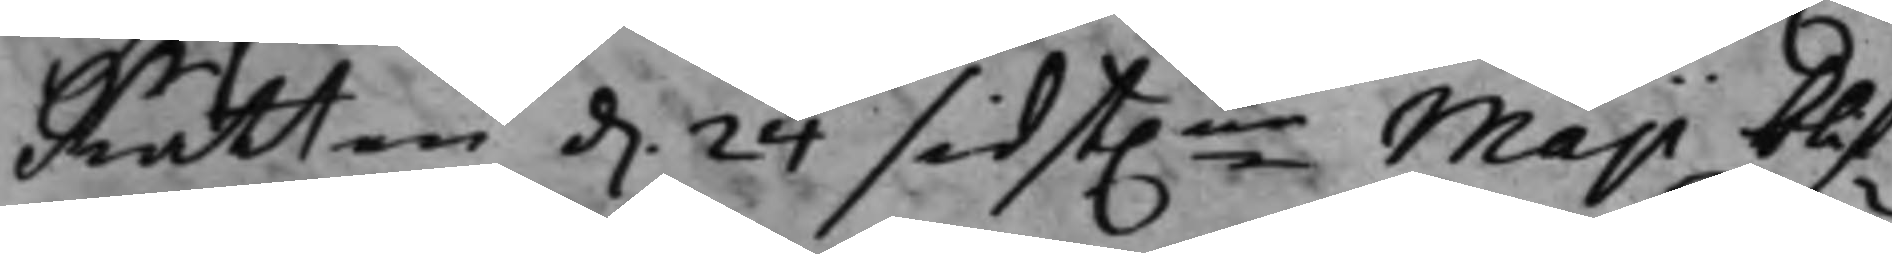Rätten d. 24 sidst.ne Maji blif¬
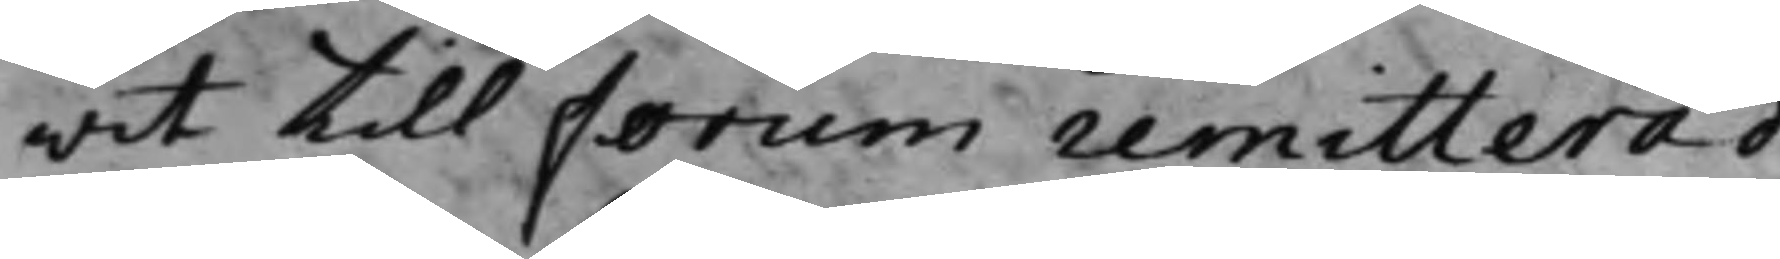wit till Forum remitterad,
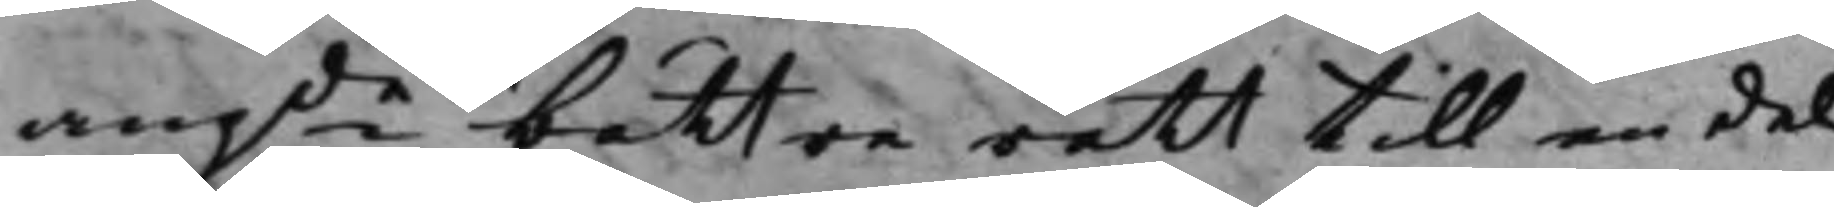angde bättre rätt till en del
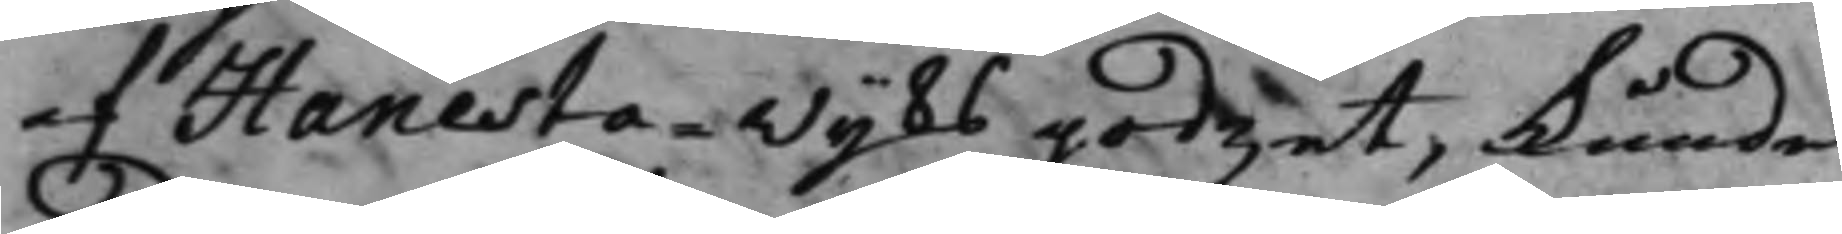af Hanesta - Wijks godzet, kunde
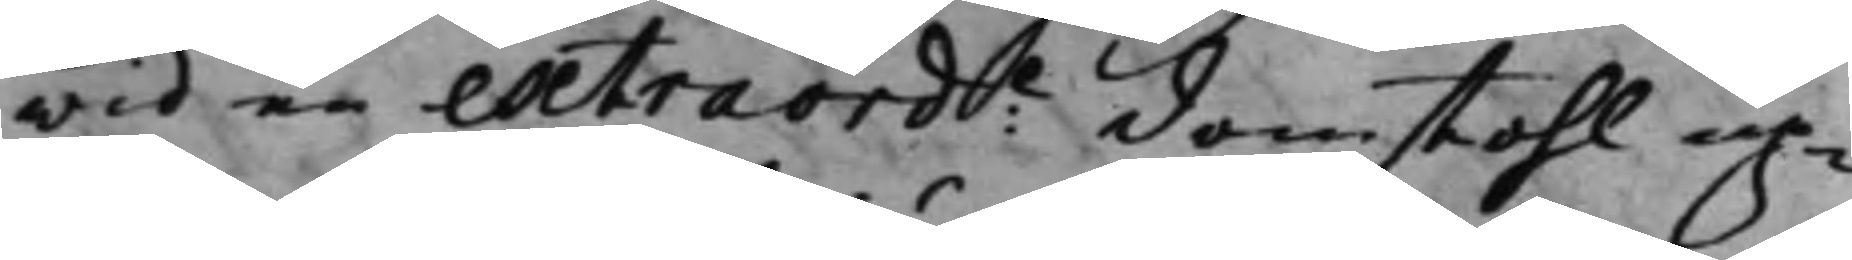wid en extraord:e domstohl up¬
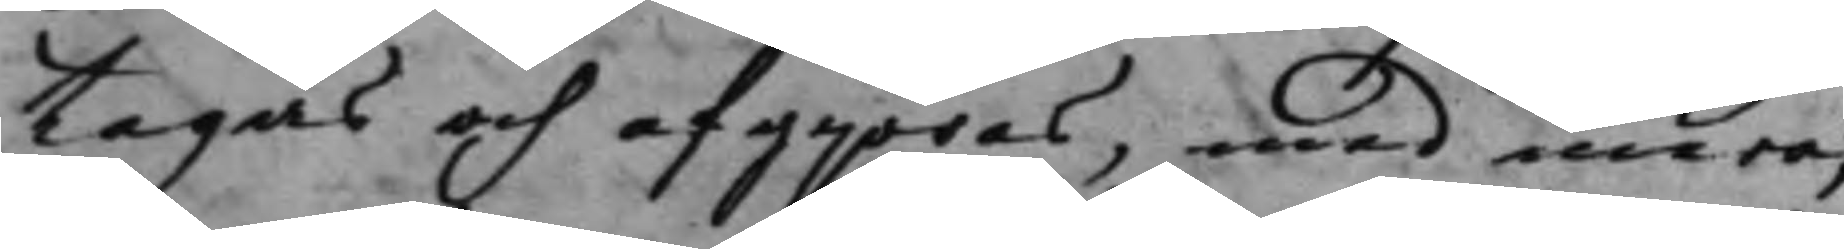tagas och afgjöras, med mera;
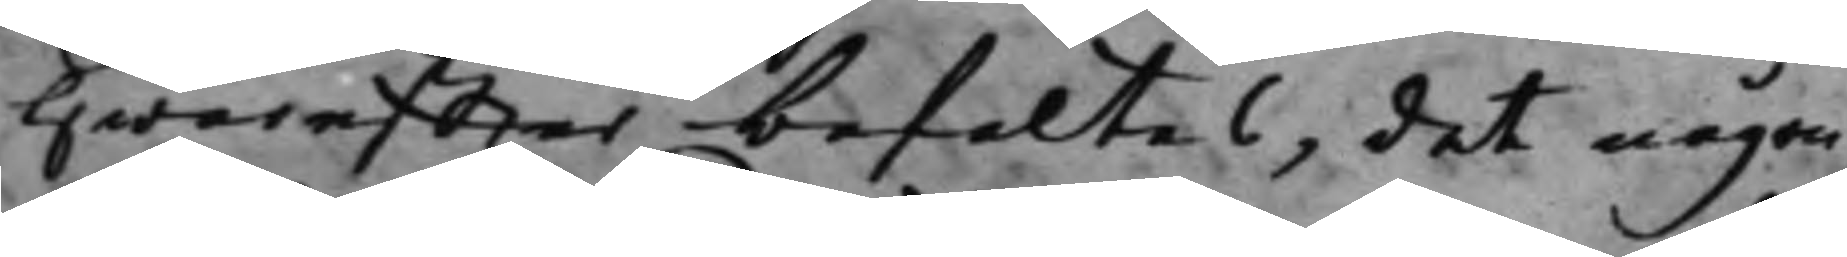Hwareffter befaltes, det någon
